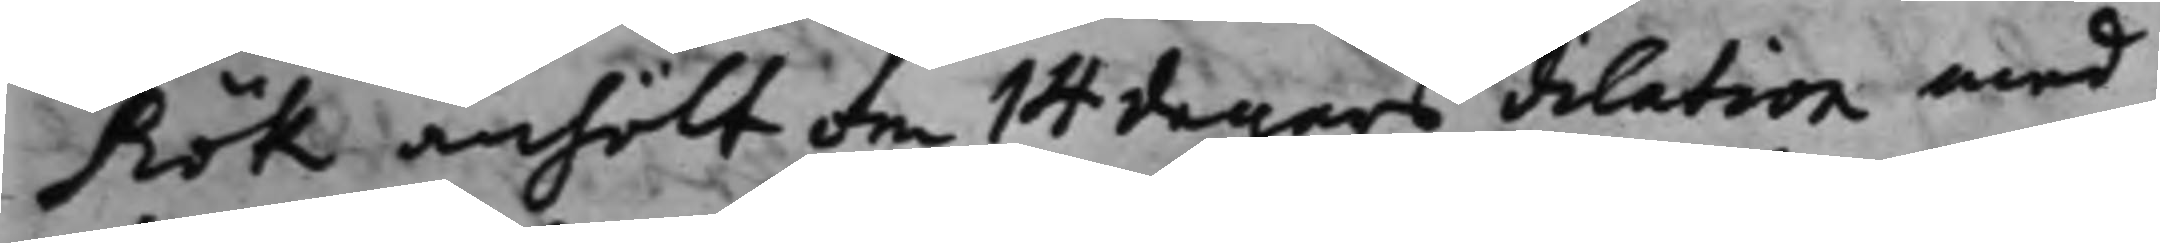Rök anhölt om 14 dagars dilation med
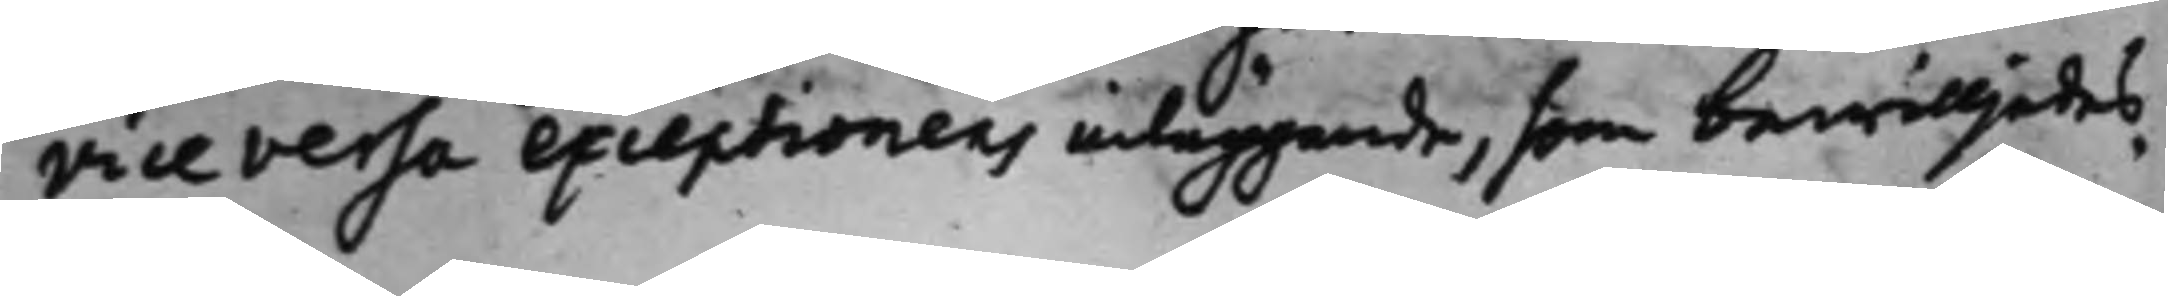vice versa exceptionens inläggande, som bewilljades.
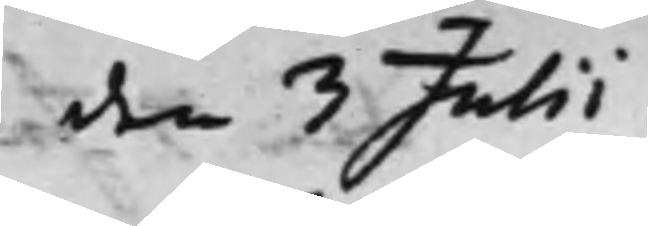den 3 Julii.
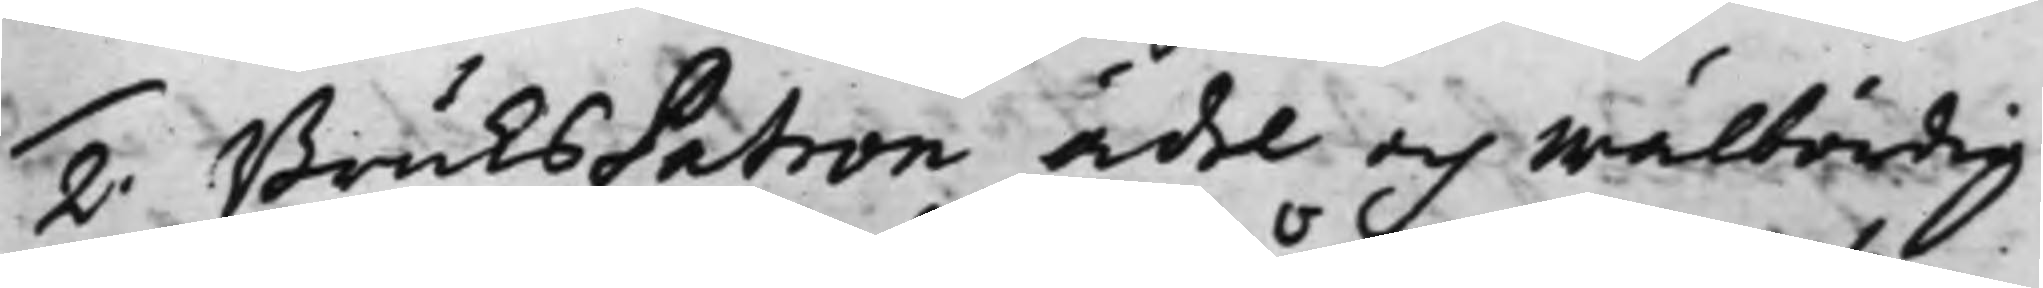2. BruksPatron ädel och Wälbördig
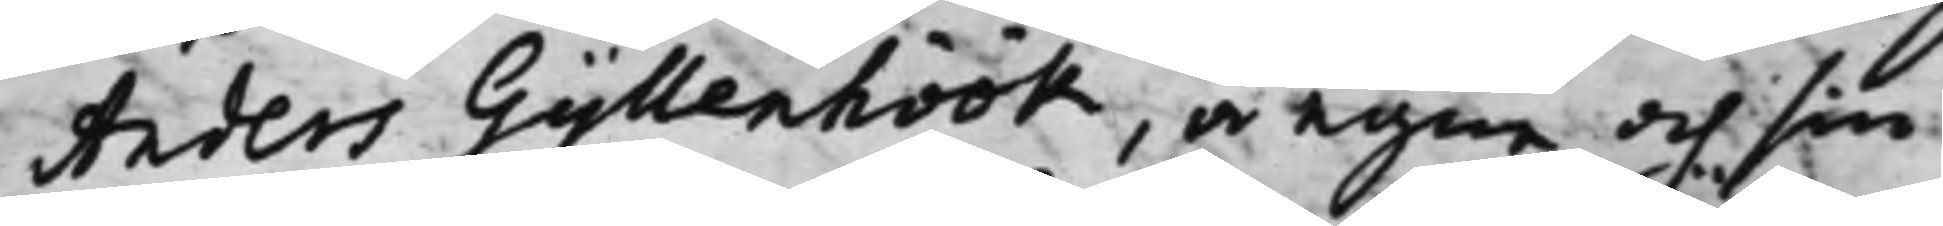Anders Gyllenhöök, å egne och sin
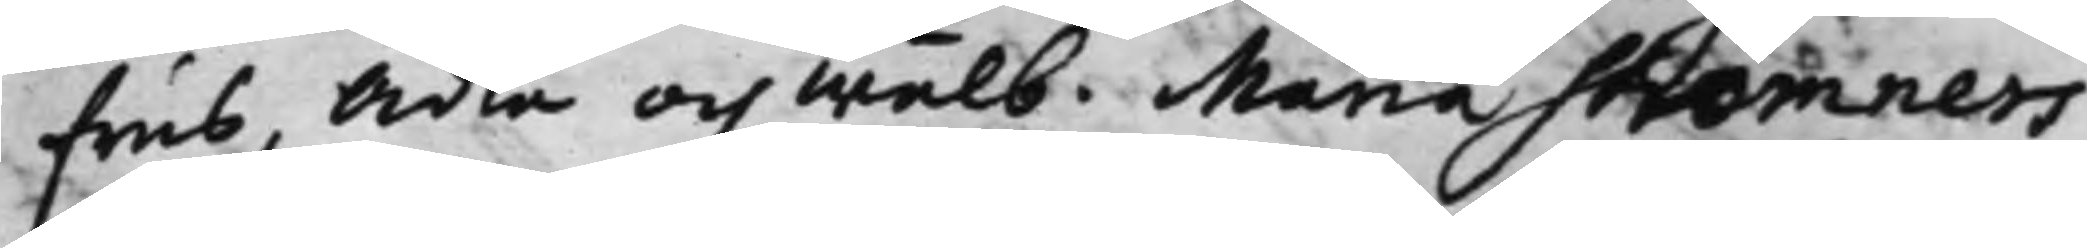frus, Ädla och Wälb: Maria Strömners
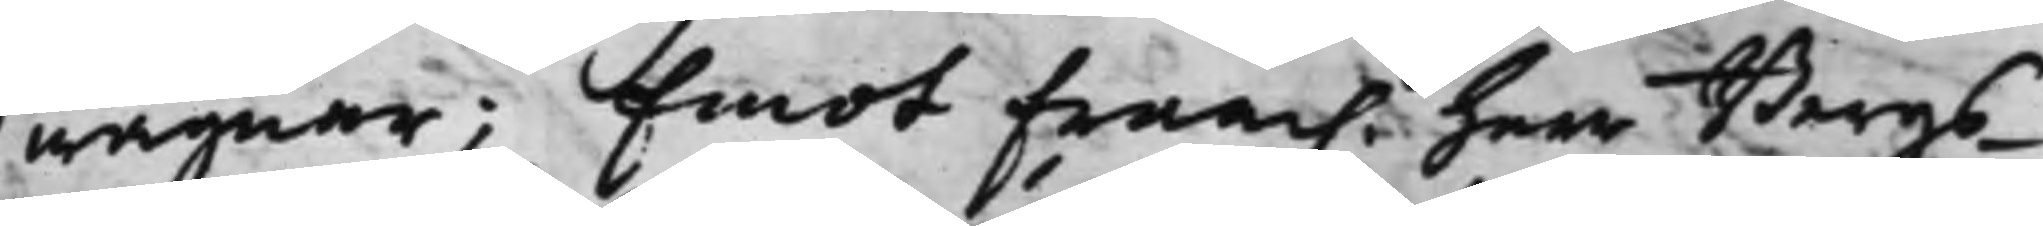wägnar; Emot Fram. Herr Bergs¬
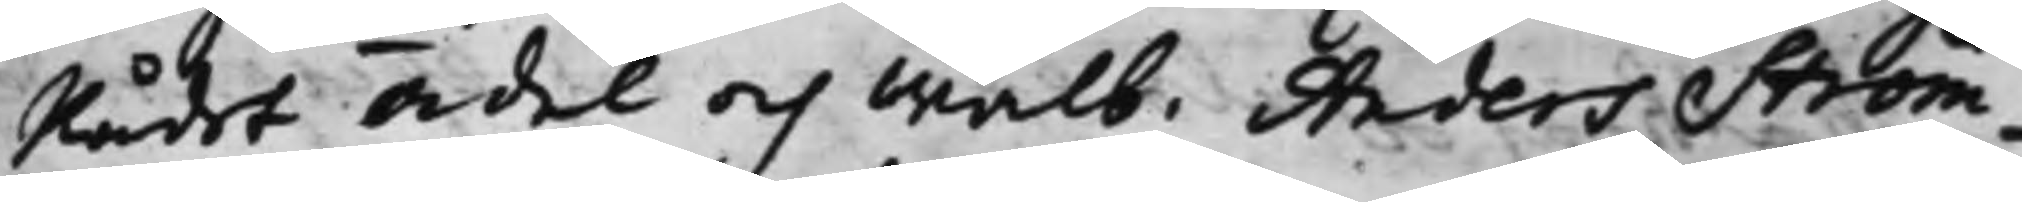Rådet Ädel och Wälb. Anders Ström¬
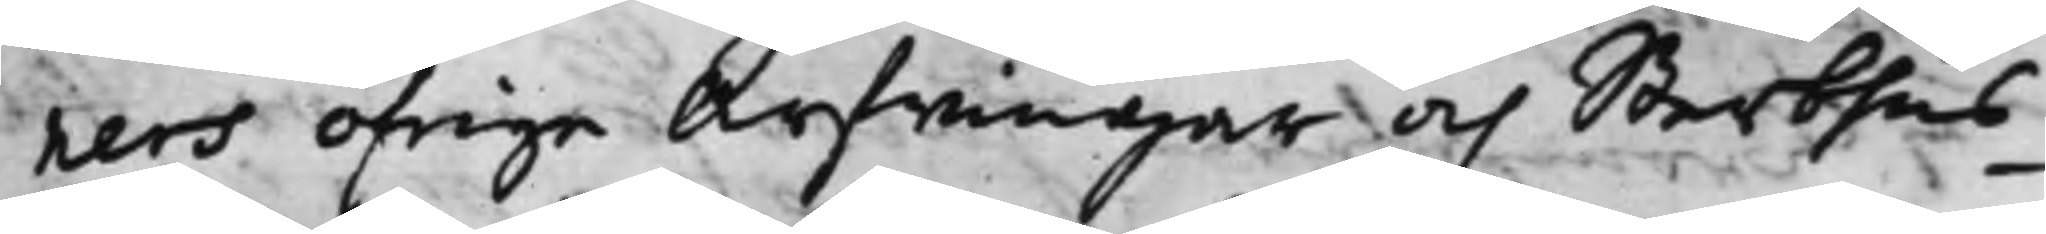ners öfrige Arfwingar och Sterbhus¬
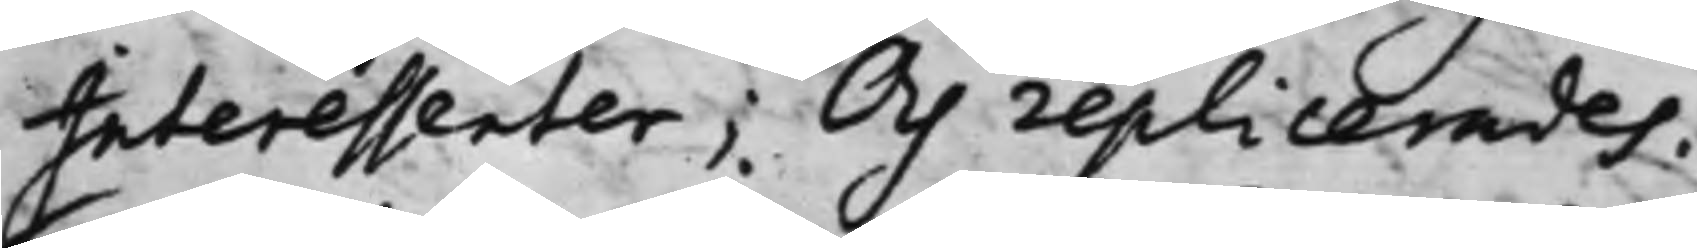Interessenter; Och replicerades.
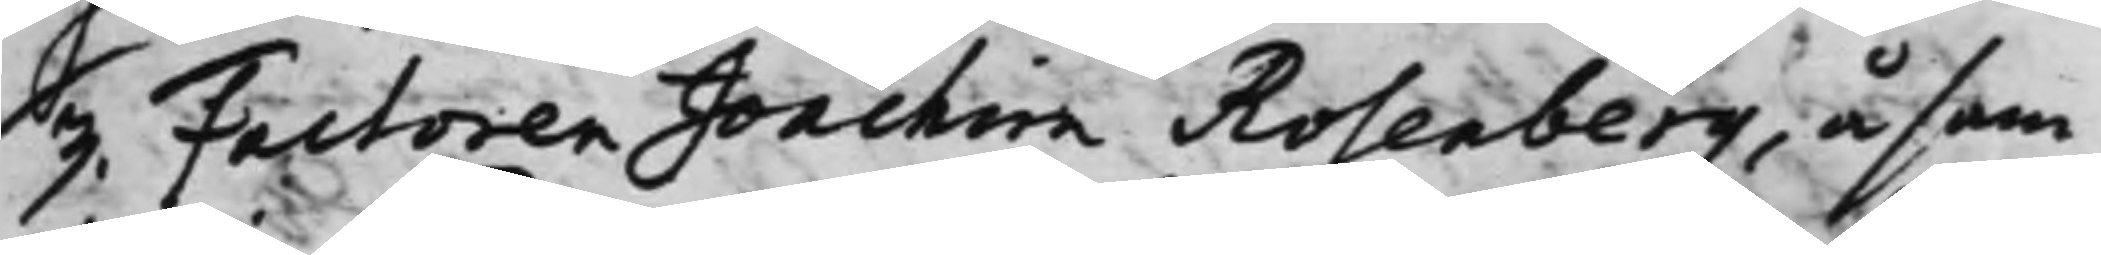3. Factoren Joachim Rosenberg, å sam¬
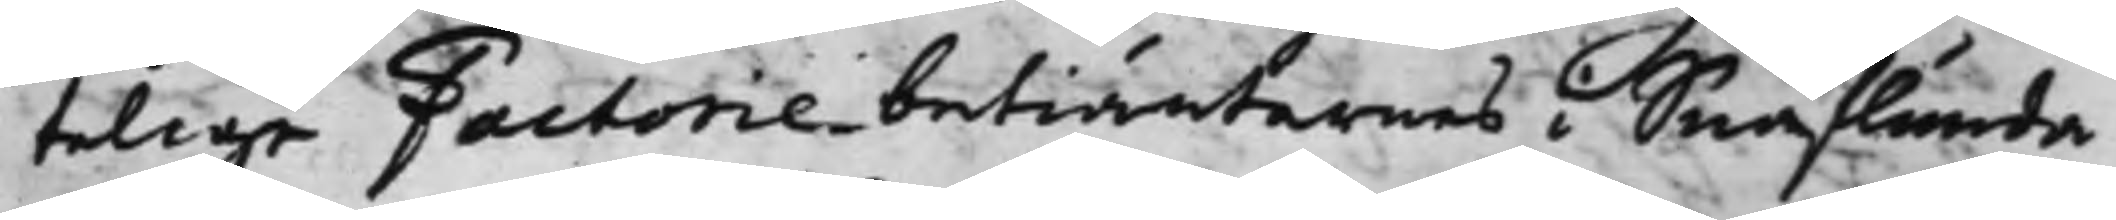telige Factoriebetiänternes i Snaflunda
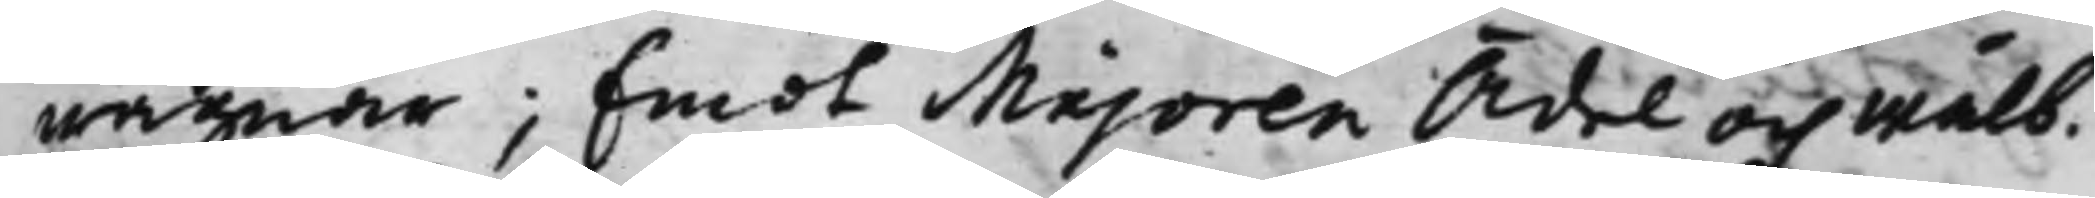wägnar; Emot Majoren Ädel och Wälb.
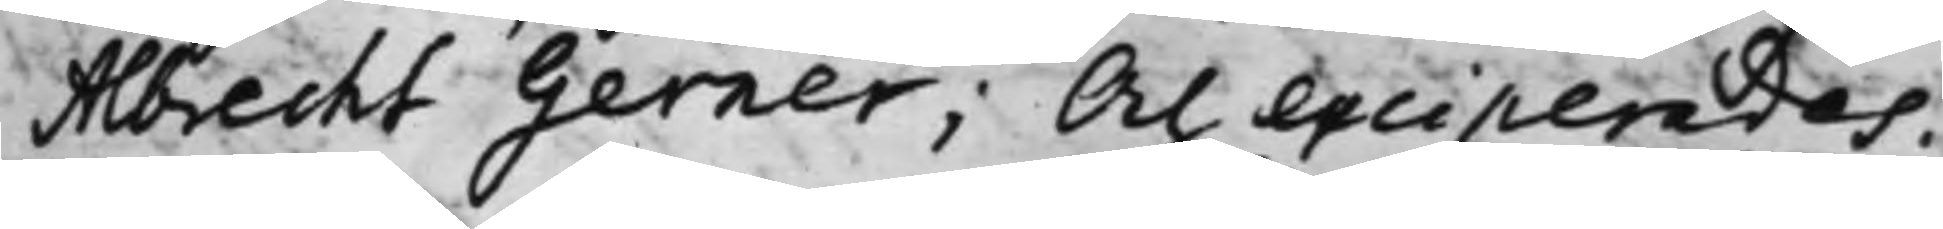Albrecht Gerner; Och exciperades.
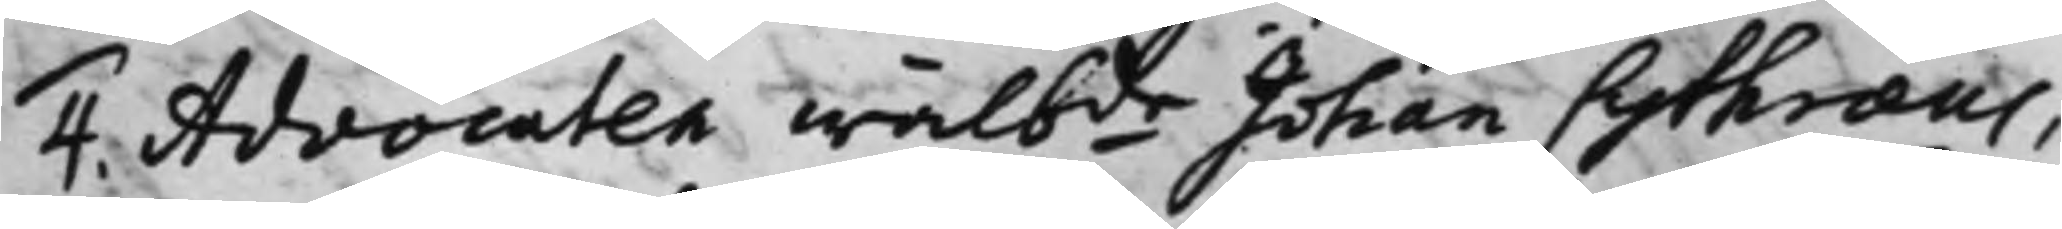4. Advocaten wälbde Johan Cythræus,
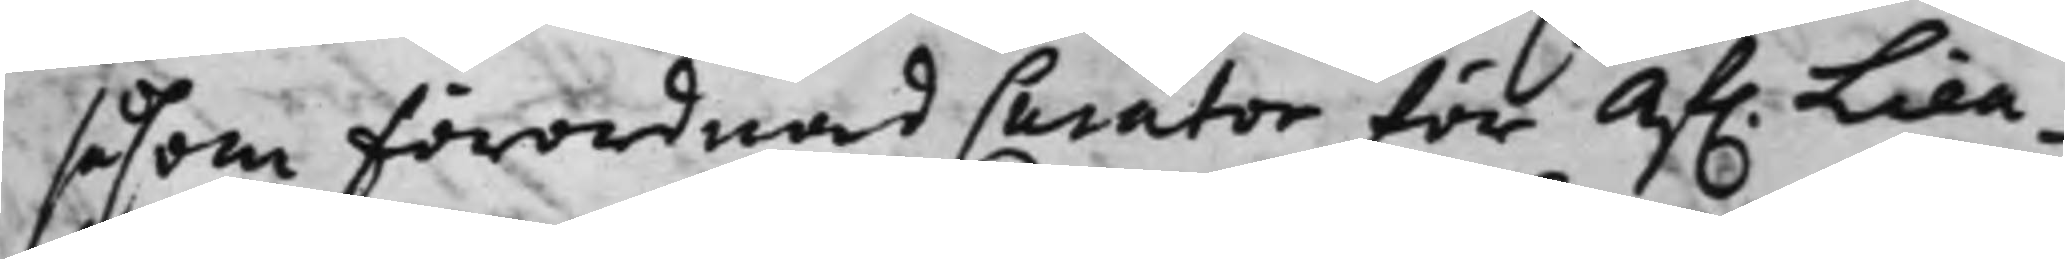såsom Förordnad Curator för af. Lieu¬
